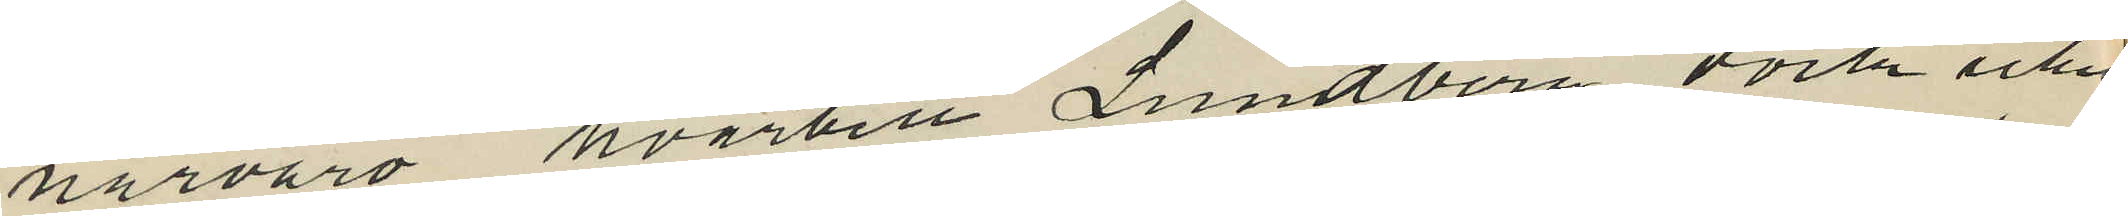närvaro hvartill Lundberg dock icke
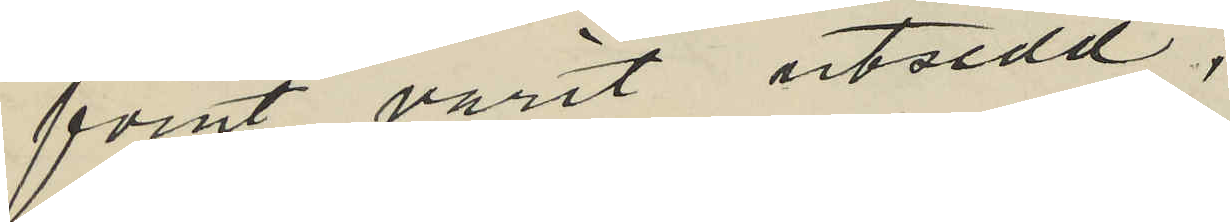förut varit utsedd;
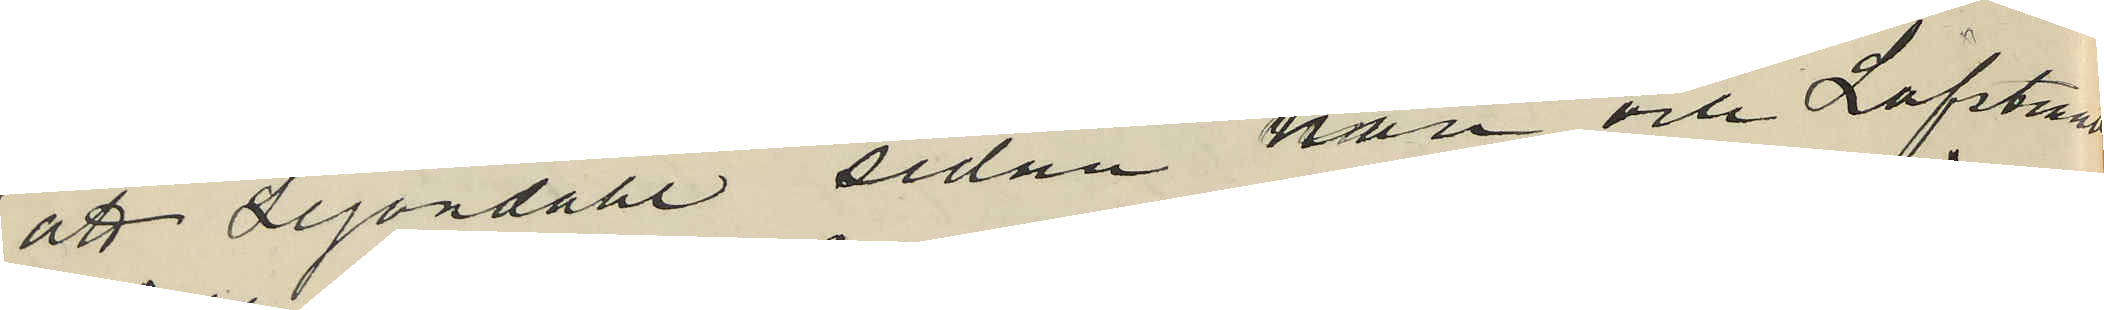att Lejondahl sedan han och Löfstrand
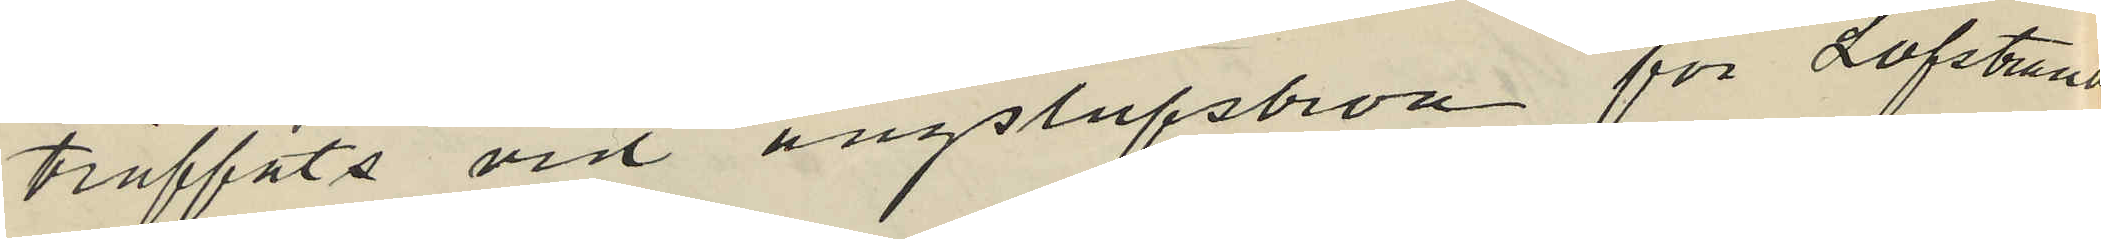träffats vid ångslupsbron för Löfstrand
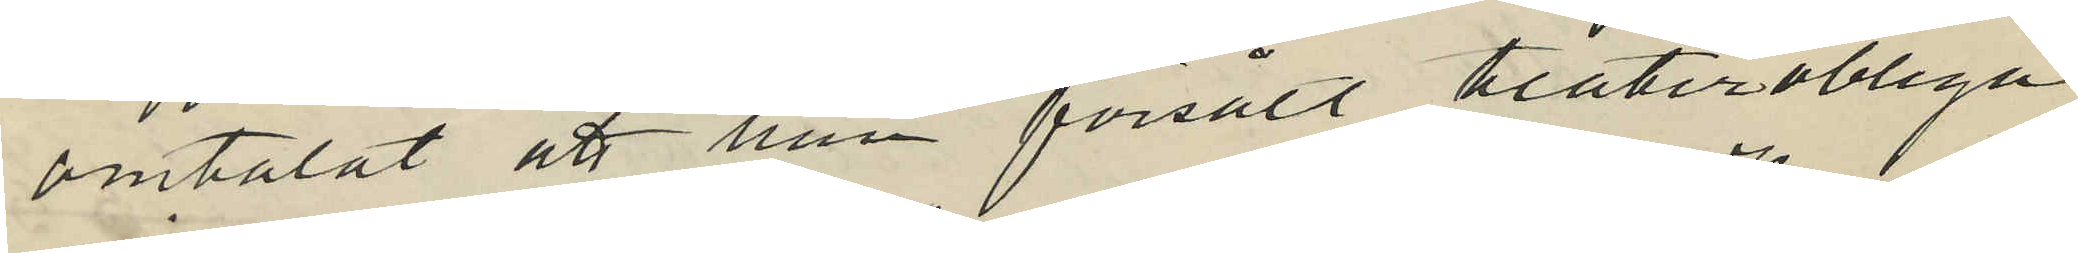omtalat att han försålt teaterobliga
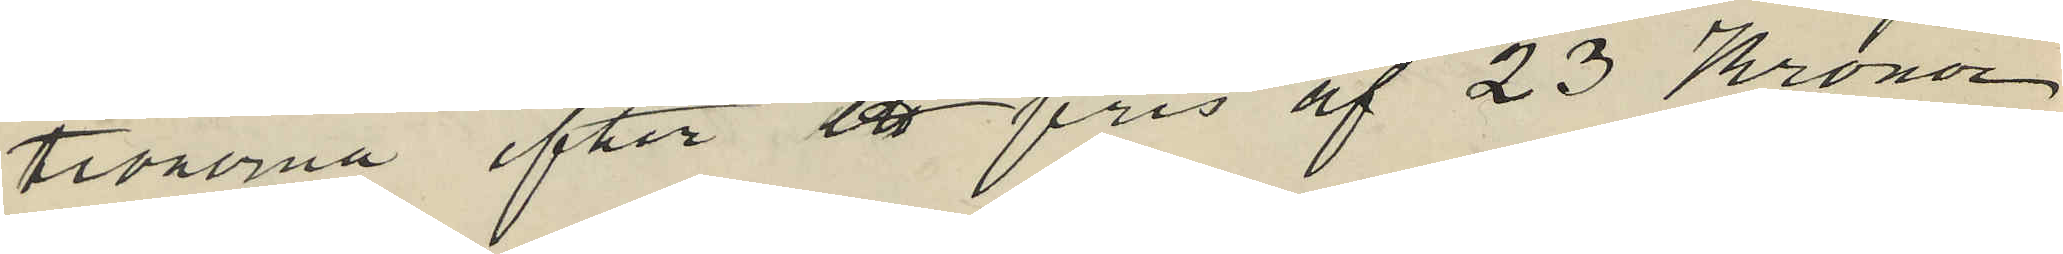tionerna efter ett pris af 23 Kronor
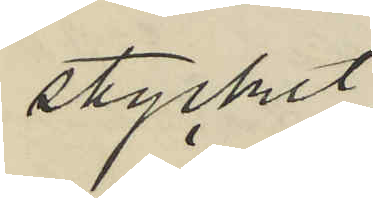stycket.
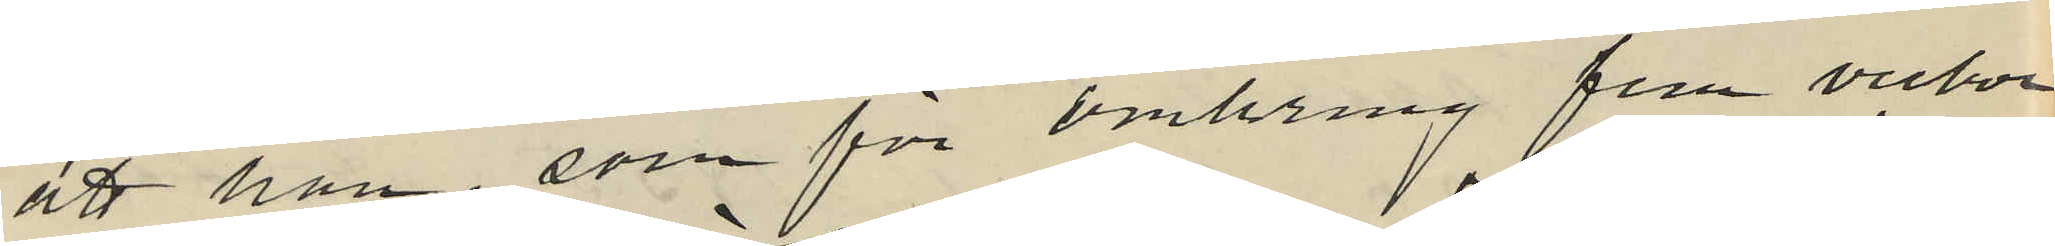att han, som för omkring fem veckor
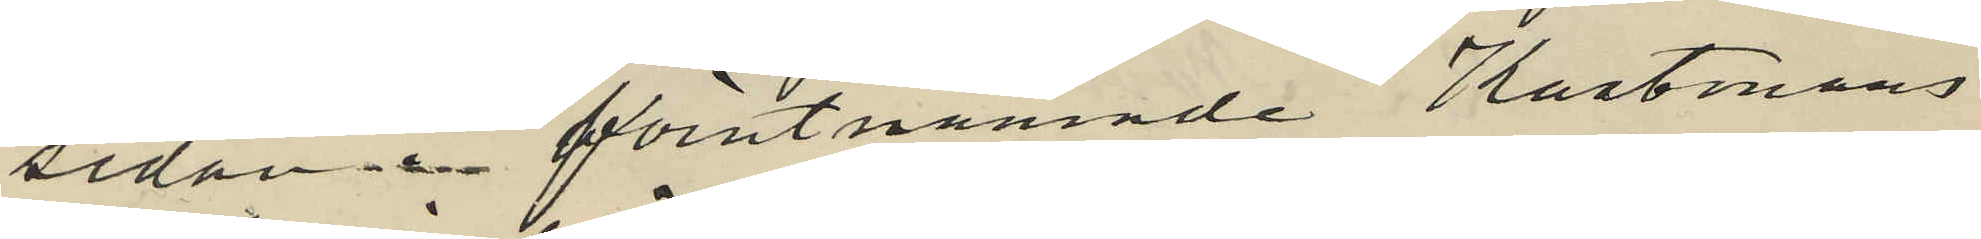sedan i förutnämnde Kastmans
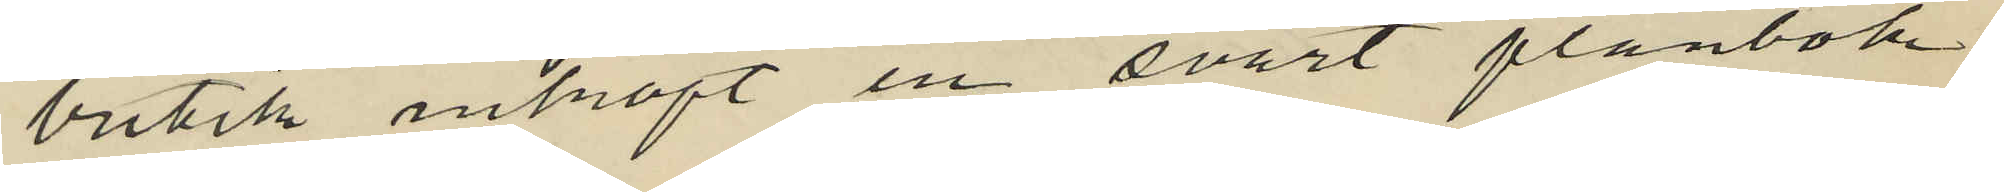butik inköpt en svart plånbok
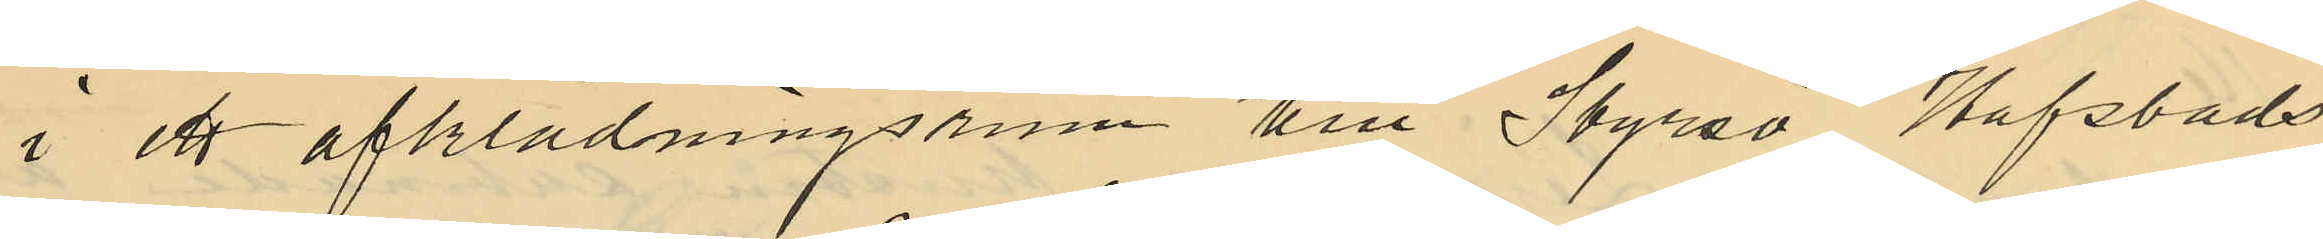i ett afklädningsrum till Styrsö Hafsbads
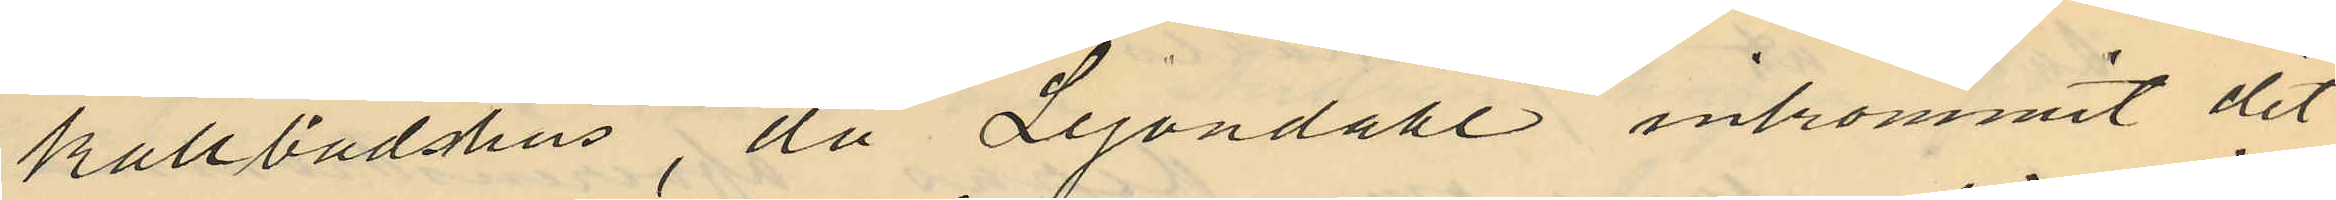kallbadshus, då Lejondahl inkommit dit
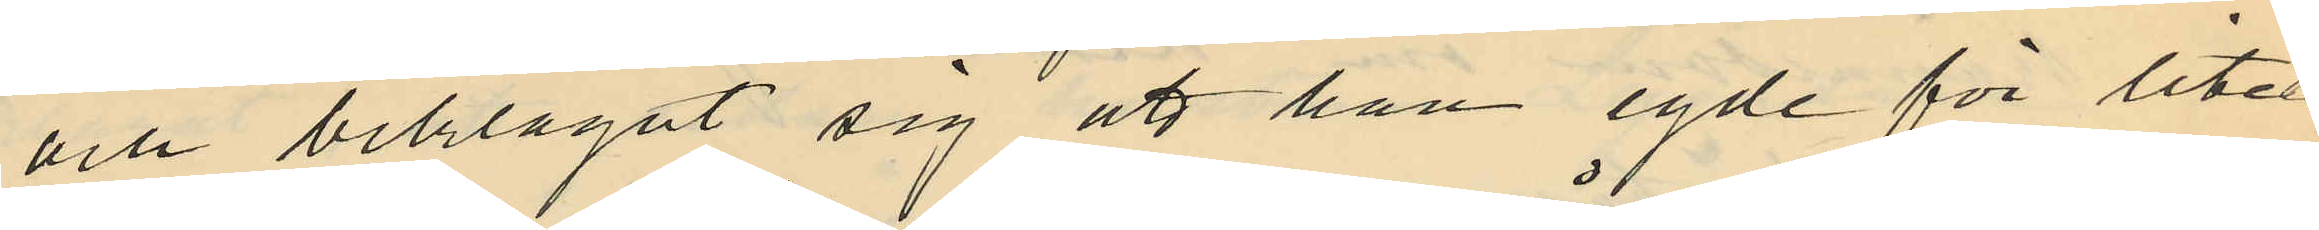och beklagat sig att han egde för litet
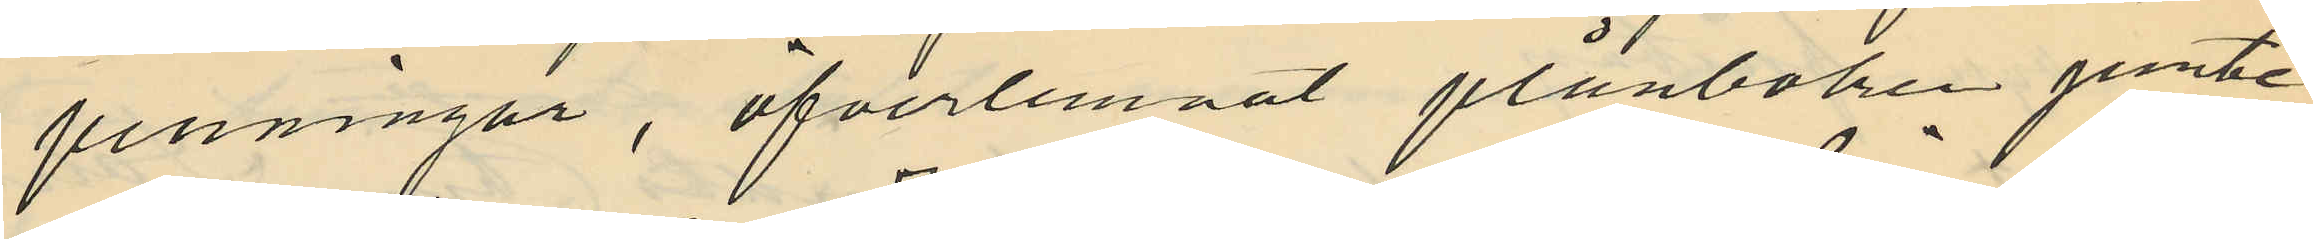penningar, öfverlemnat plånboken jemte
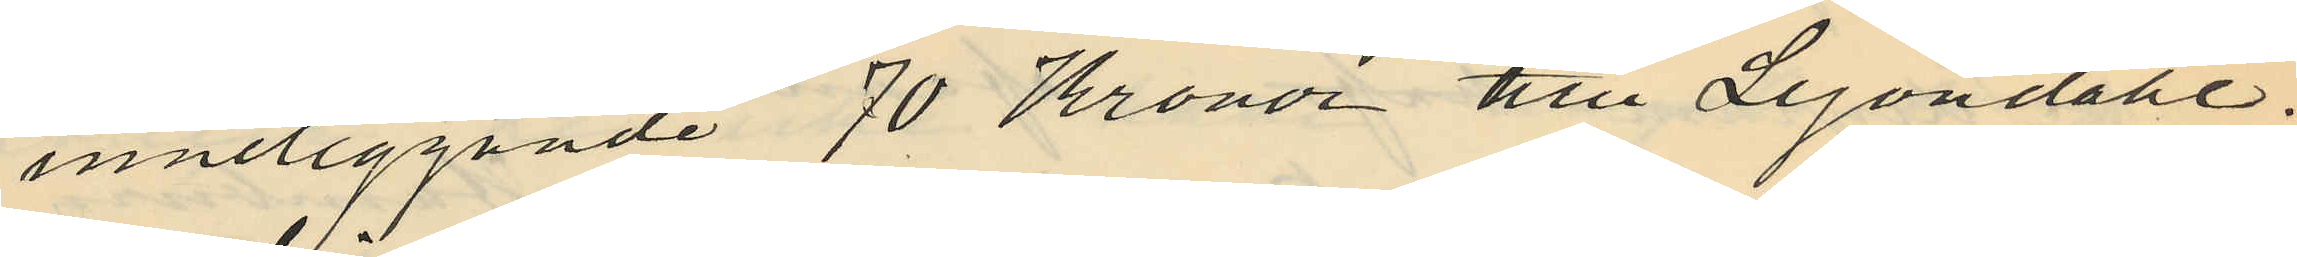inneliggande 70 Kronor tll Lejondahl.
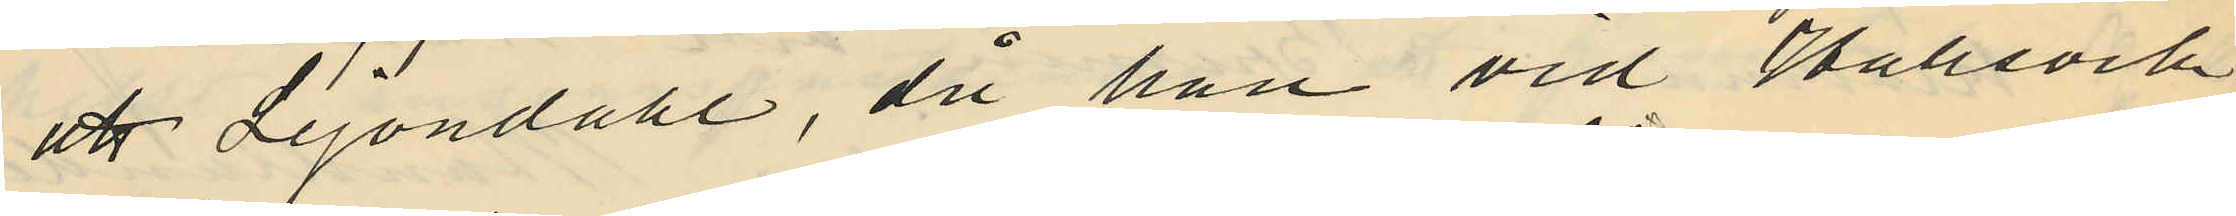att Lejondahl, då han vid Hallsvik
